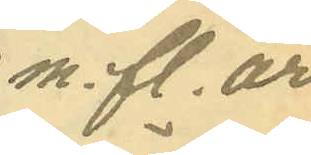m. fl. år
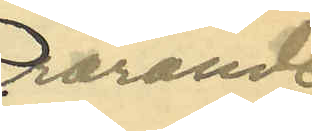rörande
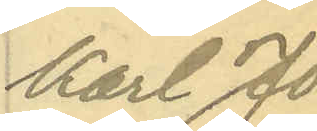Karl Jo¬
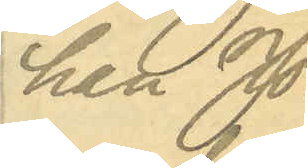han Jo¬
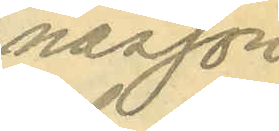nasson
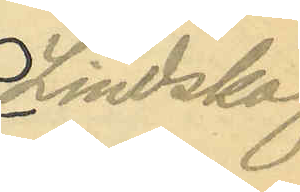Lindskog.
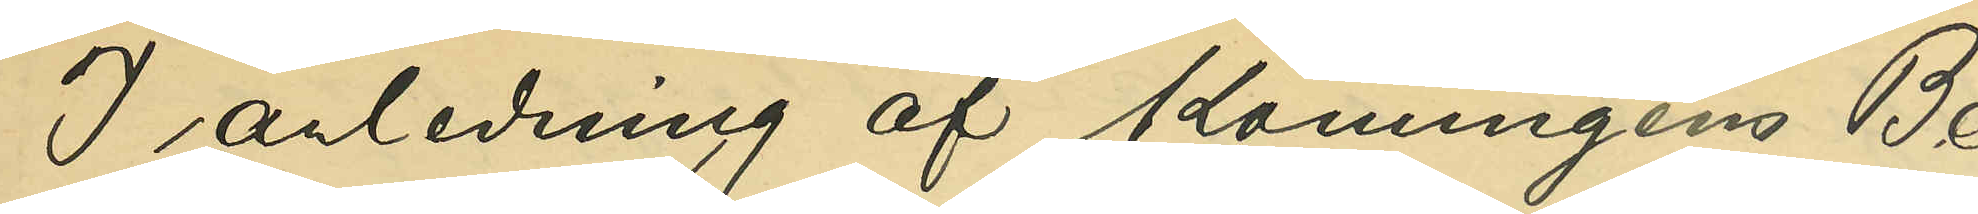I anledning af Konungens Be¬
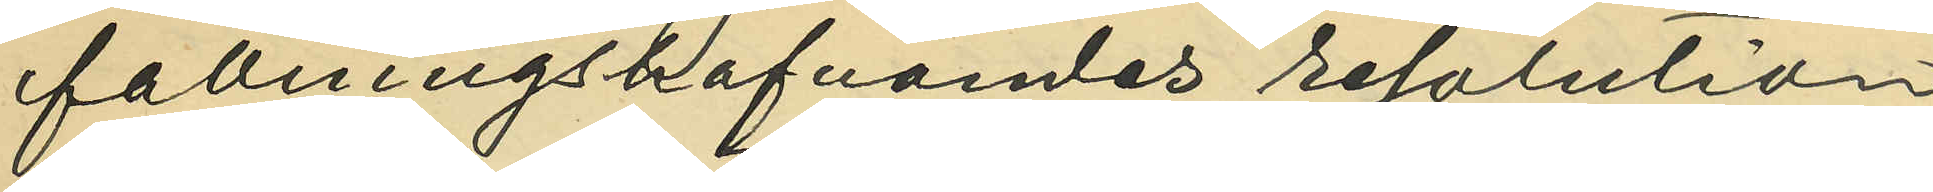fallningshafvandes resolution
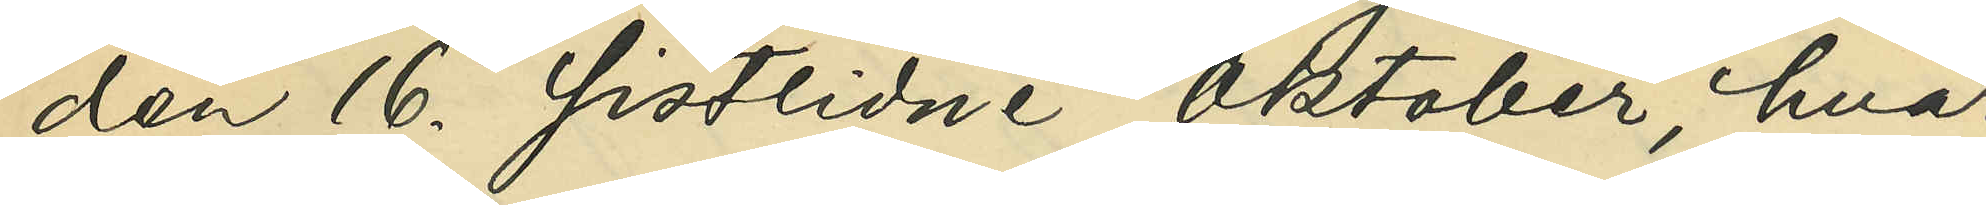den 16. sistlidne Oktober, hvar¬
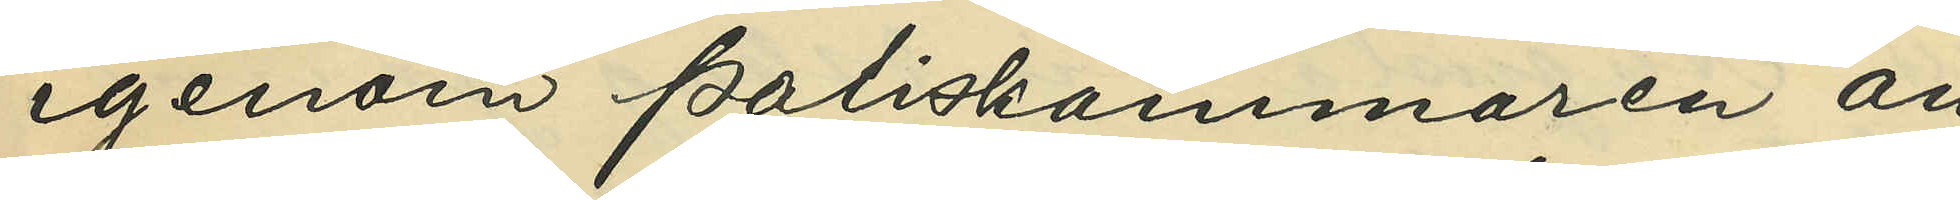igenom Poliskammaren an¬
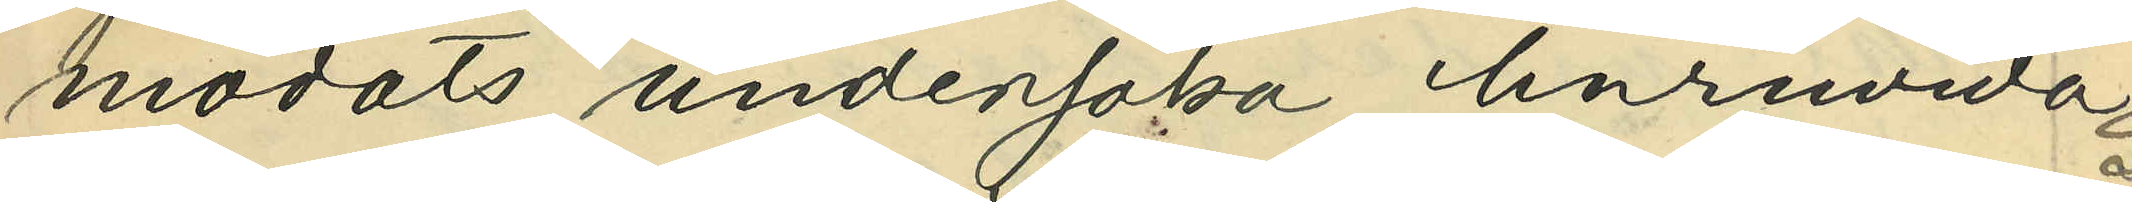modats undersöka, huruvida
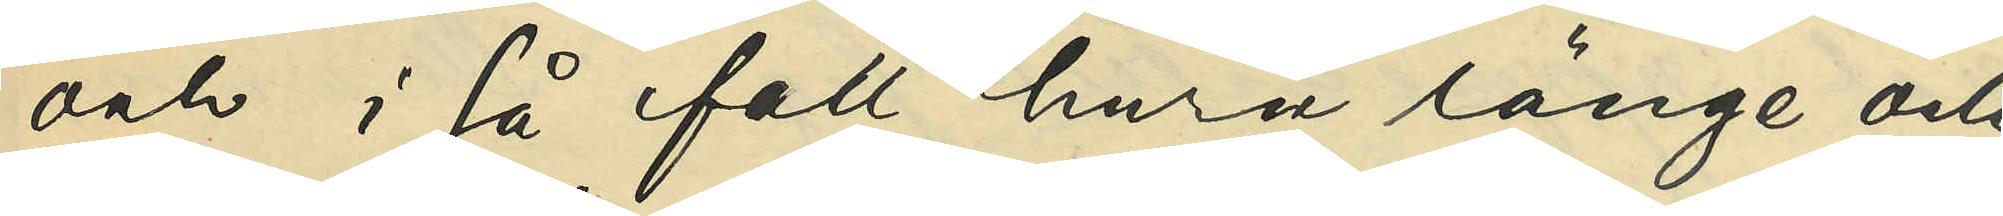och i så fall huru länge och
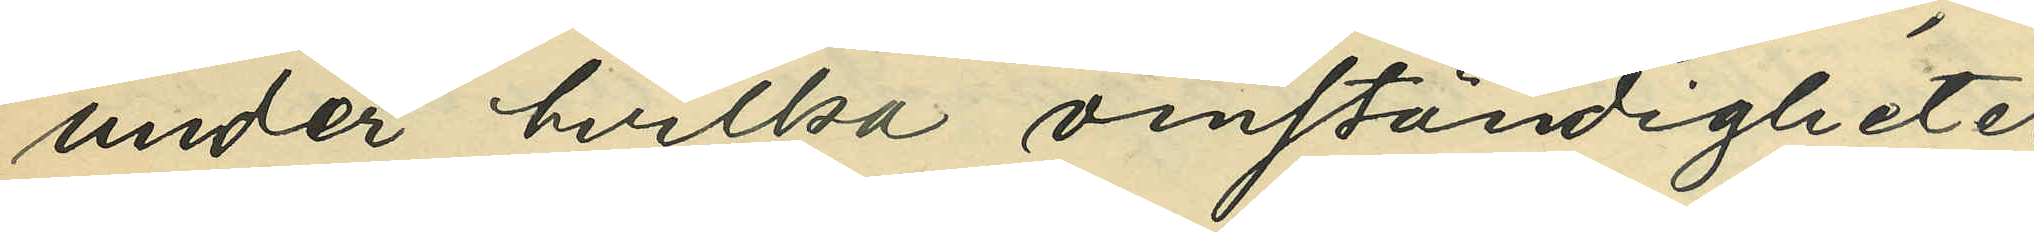under hvilka omständigheter
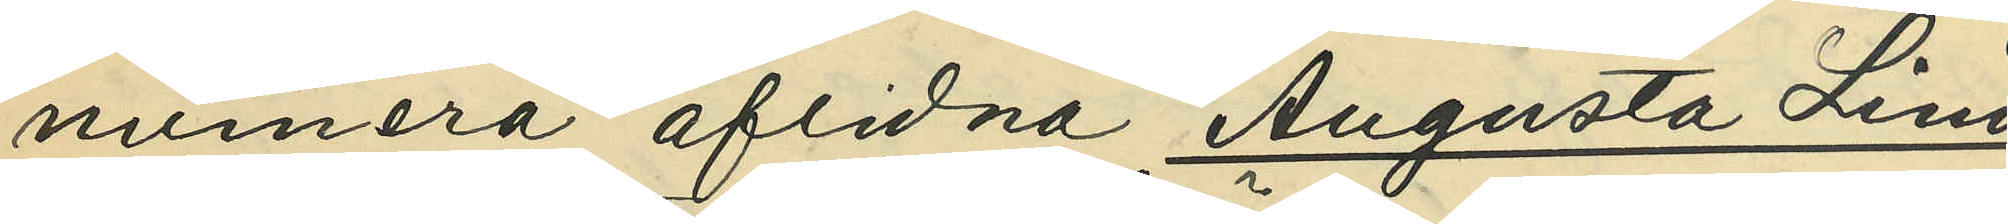numera aflidna Augusta Lind¬
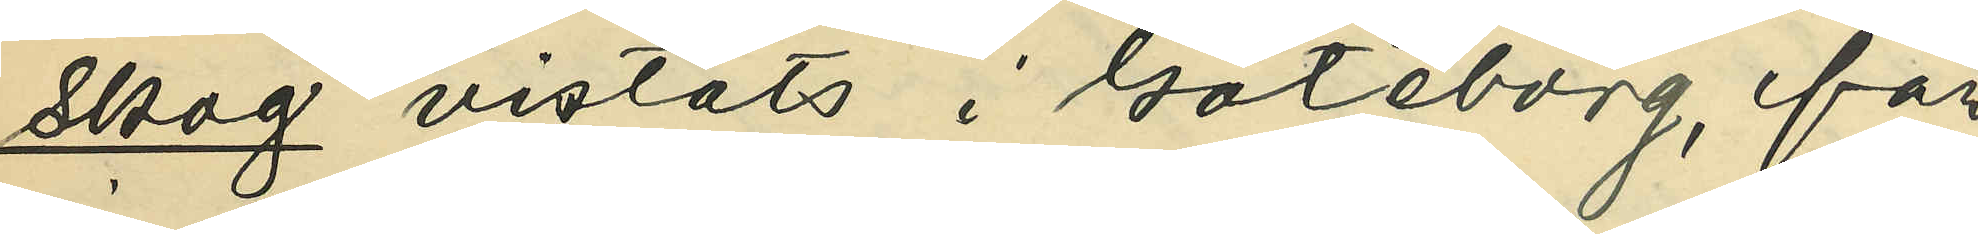skog vistats i Göteborg, får 
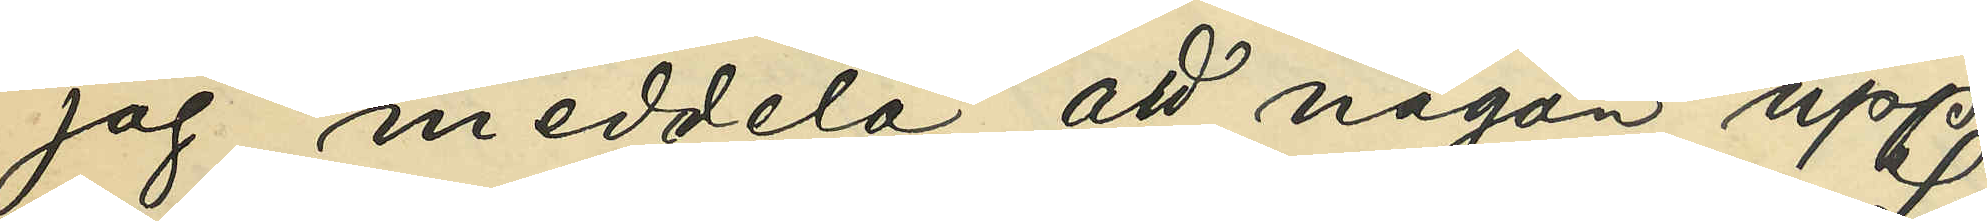jag meddela, att någon upp¬
